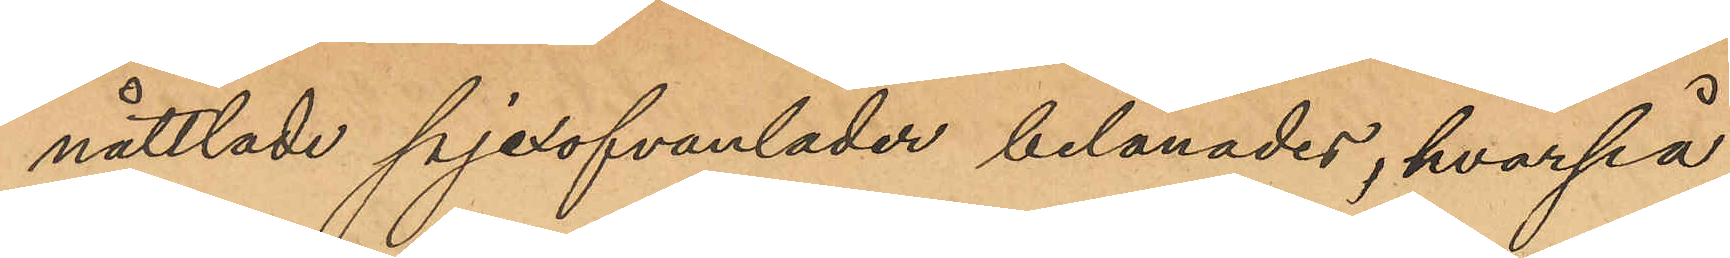nåttlade pjexofvanläder belånades, hvarpå
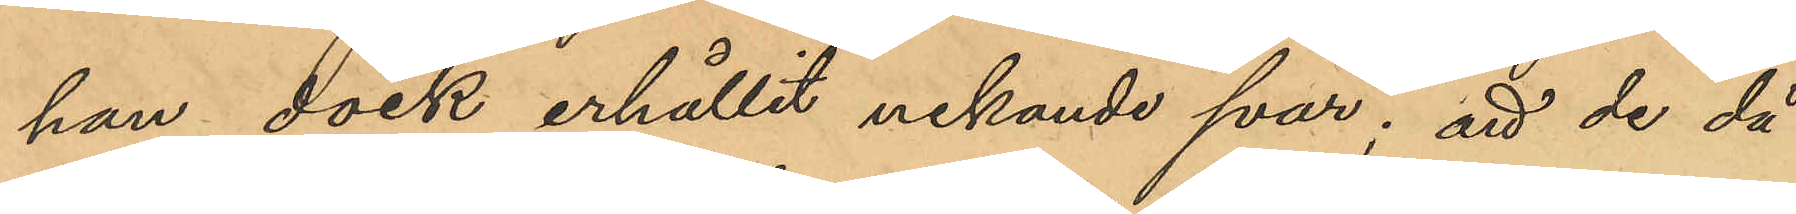han dock erhållit nekade svar; att de då
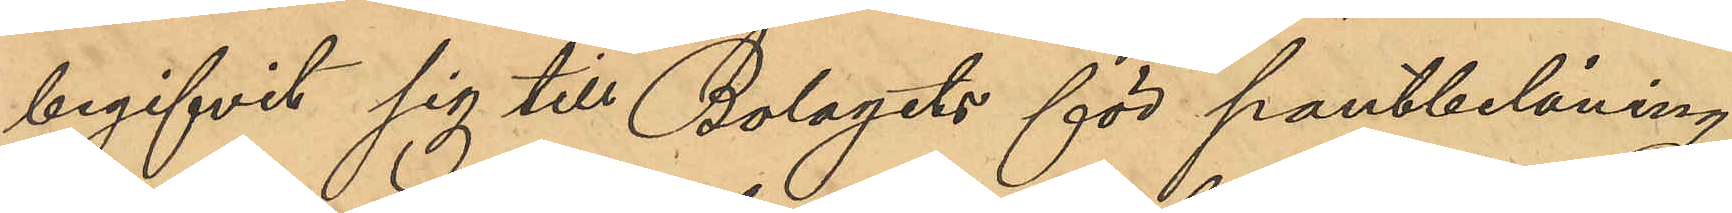begifvit sig till Bolagets för pantbelåning
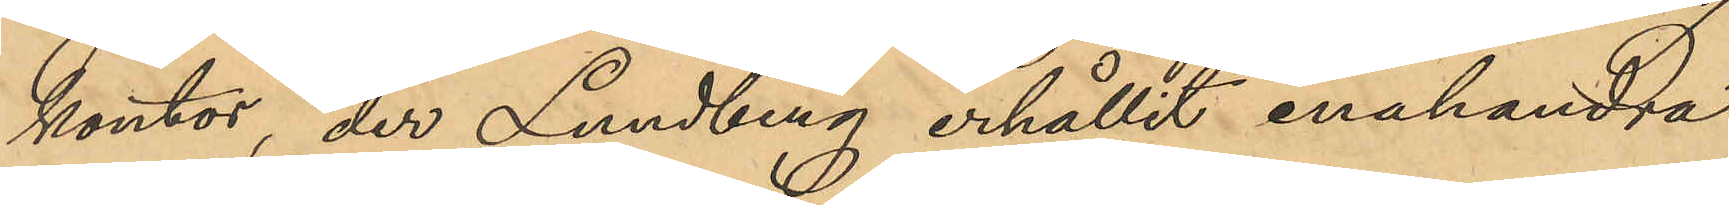kontor, der Lundberg erhållit enahanda
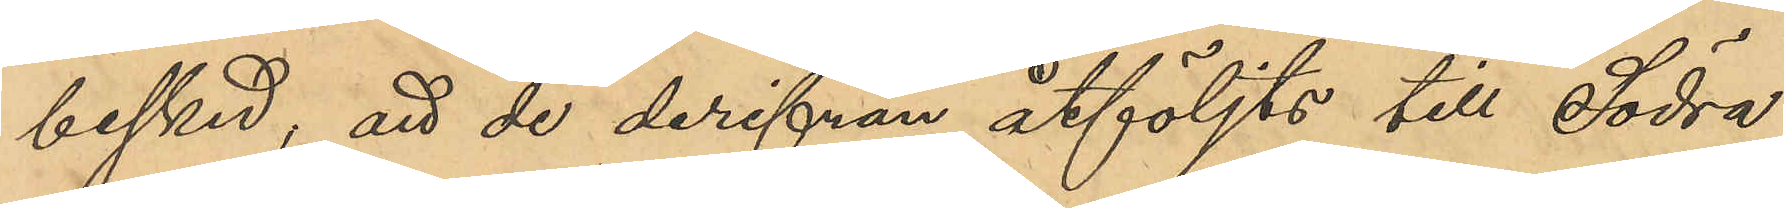besked, att de derifrån åtföljts till Södra
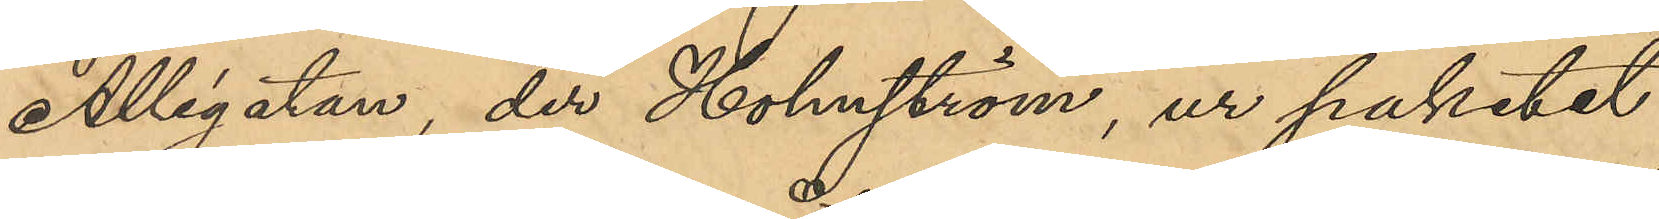Allégatan, der Holmström, ur paketet
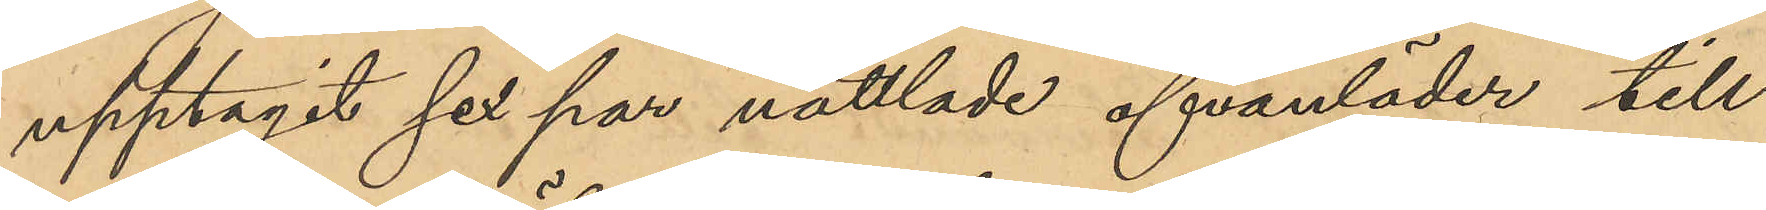upptagit sex par nåttlade ofvanläder till
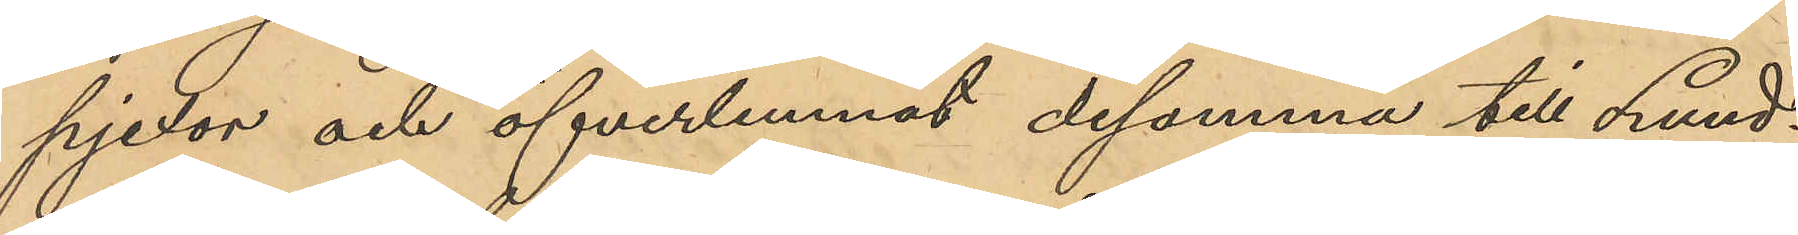pjexor och öfverlemnat desamma till Lund¬
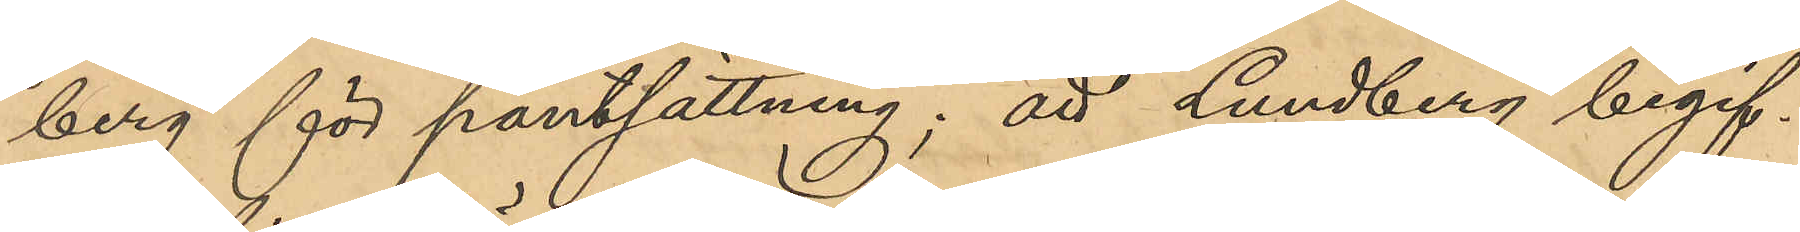berg för pantsättning; att Lundberg begif¬
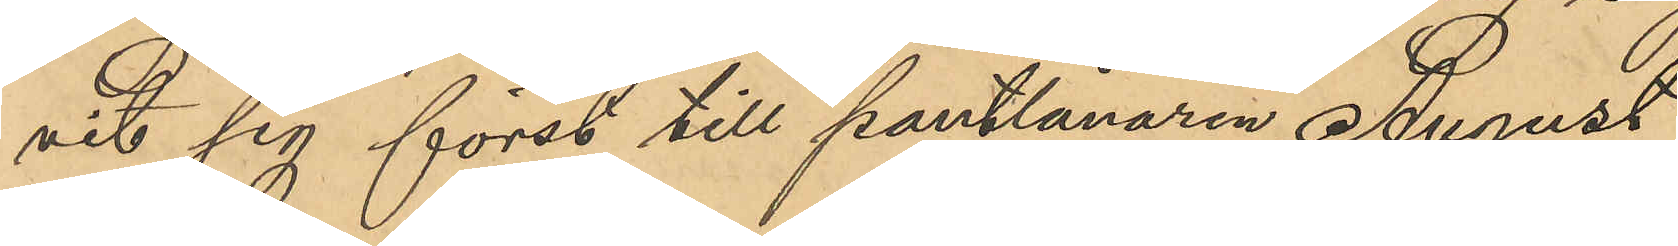vit sig först till Pantlånaren August
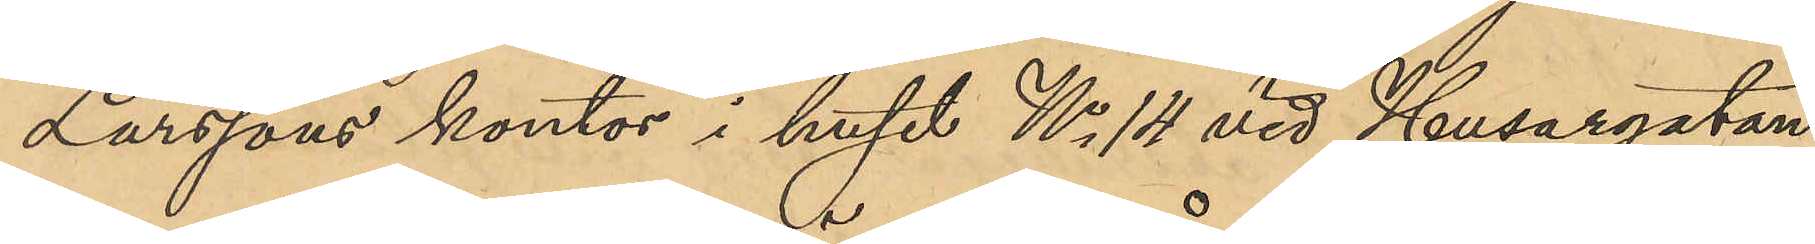Larssons kontor i huset No 14 vid Husargatan,
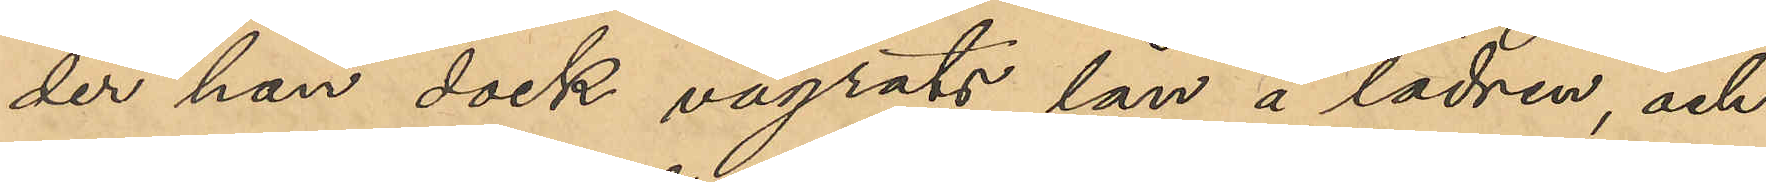der han dock vägrats lån å lädren, och
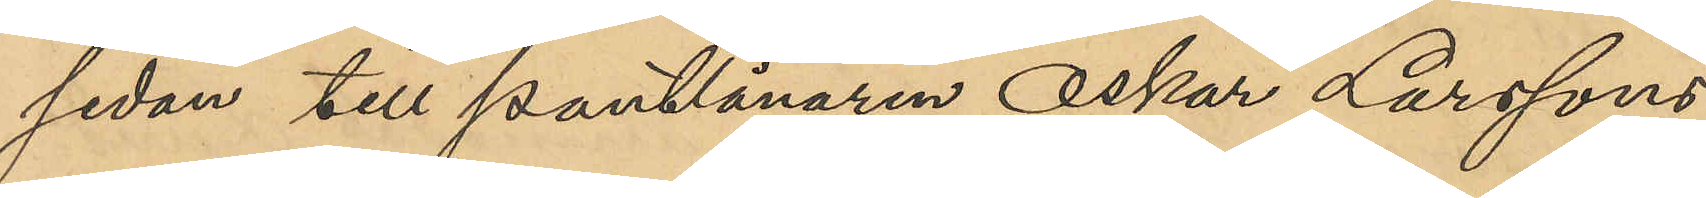sedan till Pantlånaren Oskar Larssons
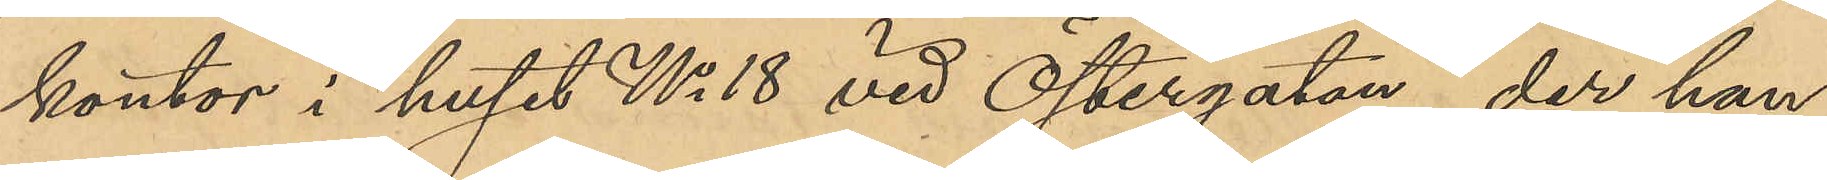kontor i huset No 18 vid Östergatan, der han
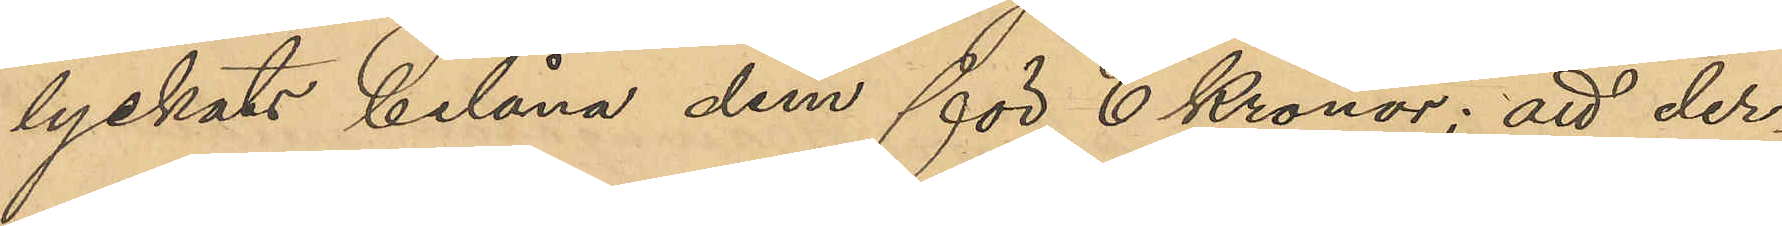lyckats belåna dem för 6 Kronor; att der
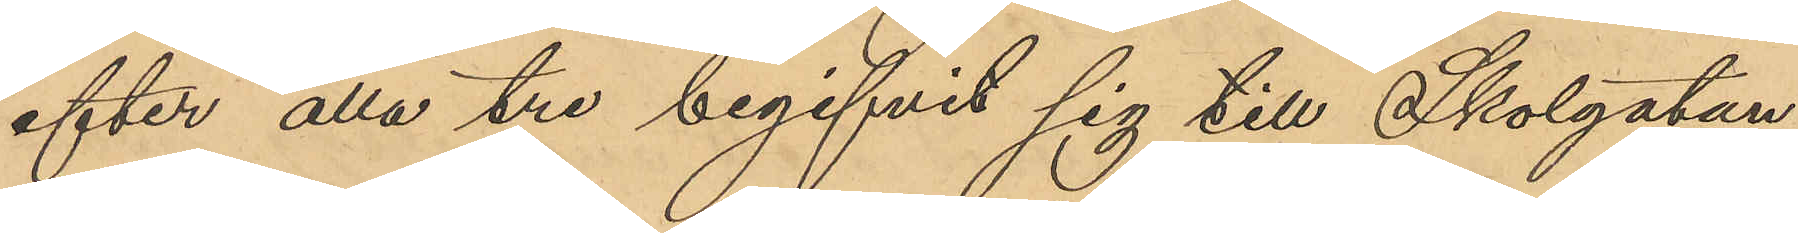efter alla tre begifvit sig till Skolgatan,
